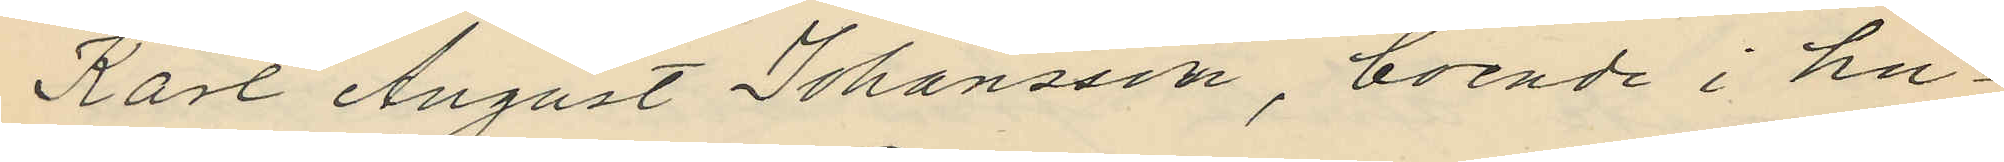Karl August Johansson, boende i hu¬
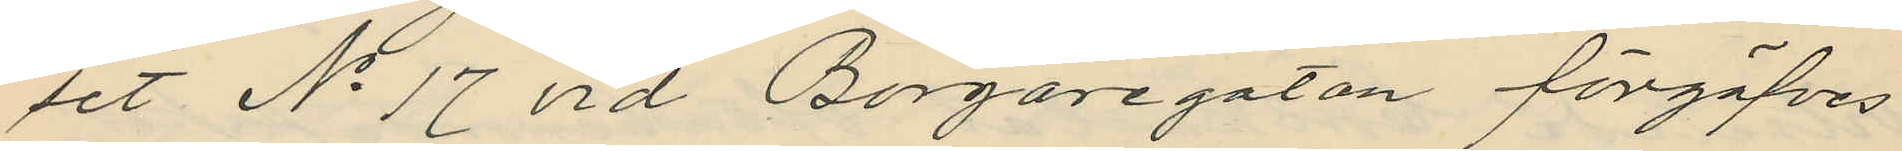set No 17 vid Borgaregatan förgäfves
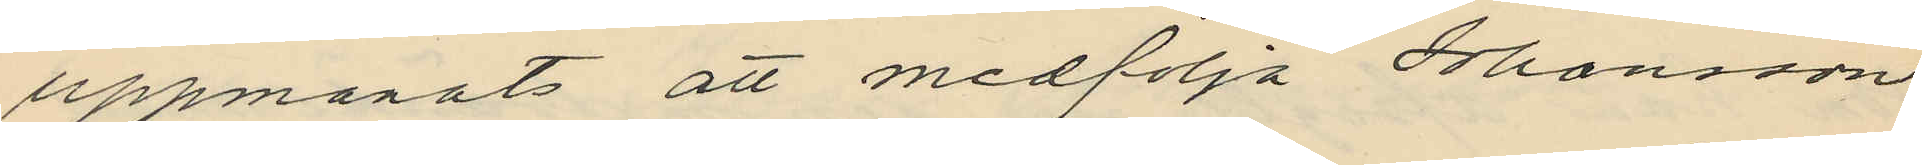uppmanats att medfölja Johansson
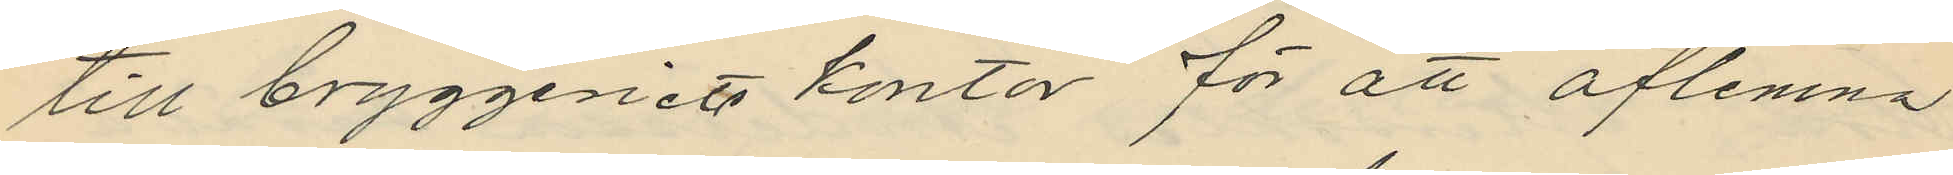till bryggeriets kontor för att aflemna
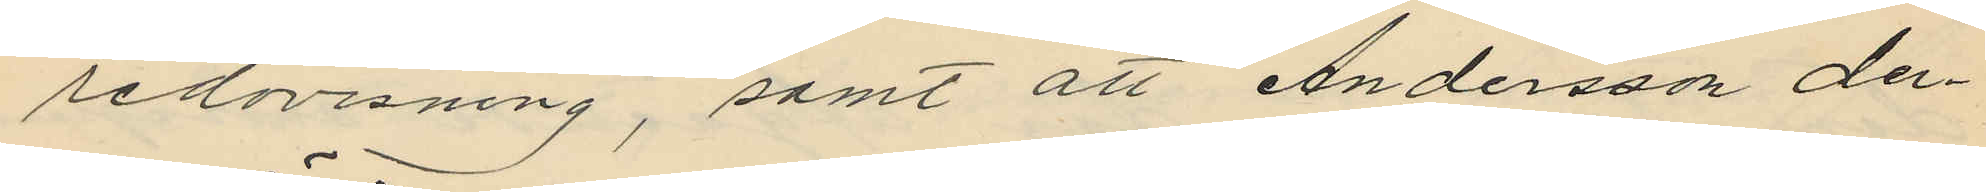redovisning, samt att Andersson der¬
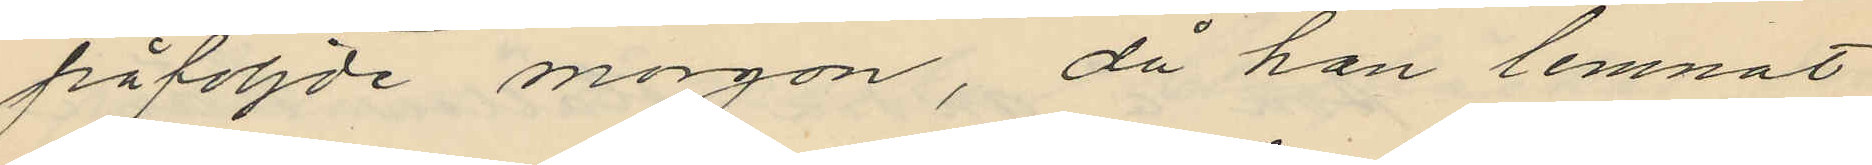påföljde morgon, då han lemnat
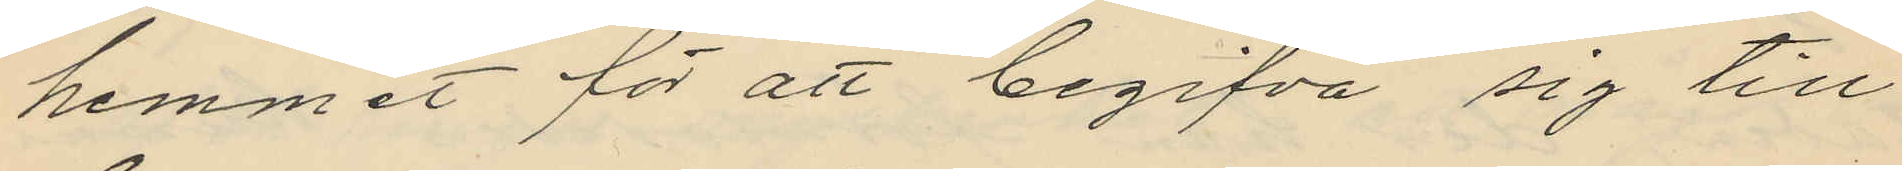hemmet för att begifva sig till
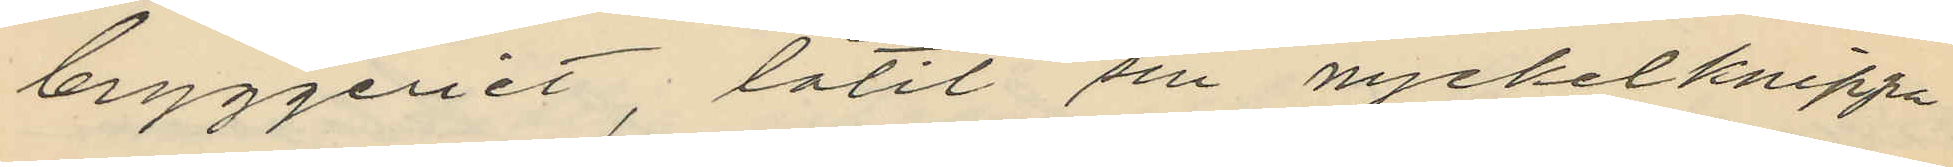bryggeriet, låtit sin nyckelknippa
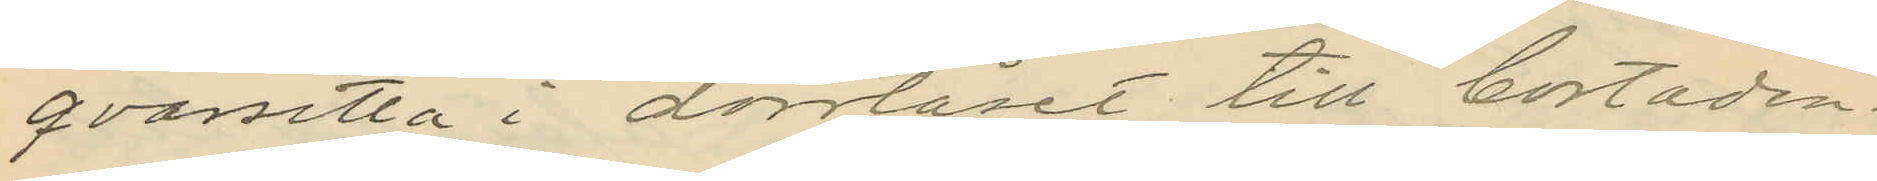qvarsitta i dörrlåset till bostaden.
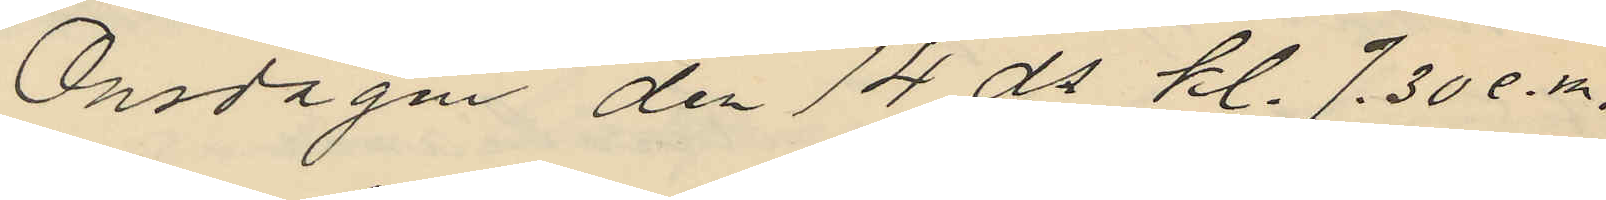Onsdagen den 14 ds kl. 7.30 e.m.
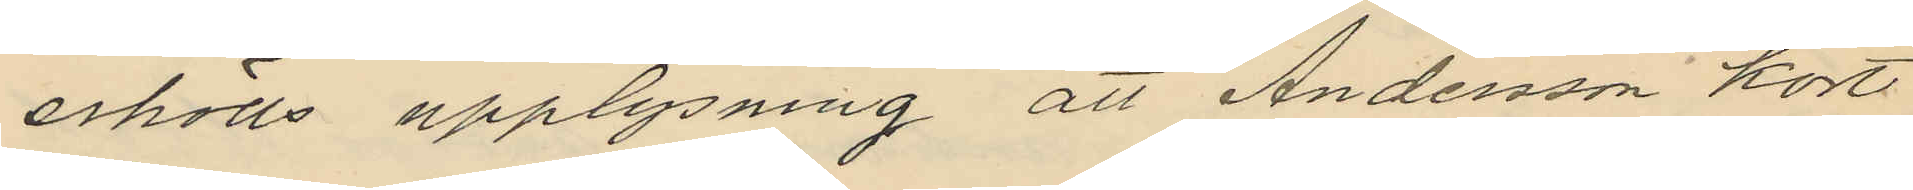erhölls upplysning att Andersson kort
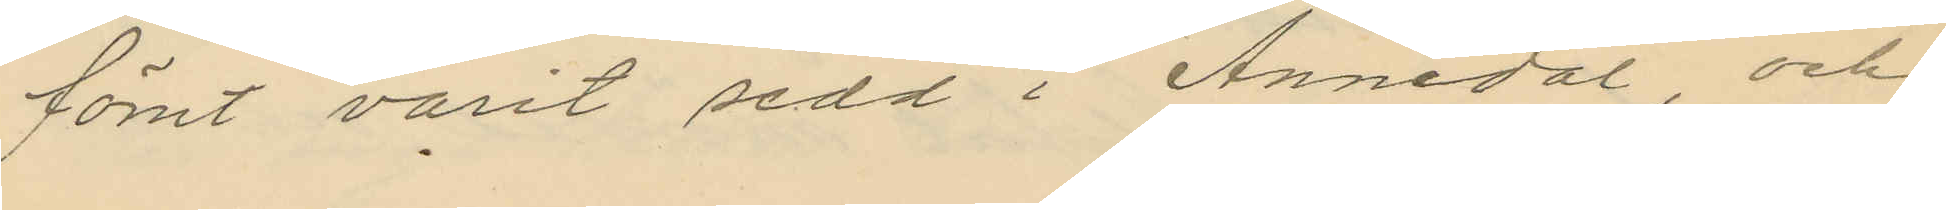förut varit sedd i Annedal, och
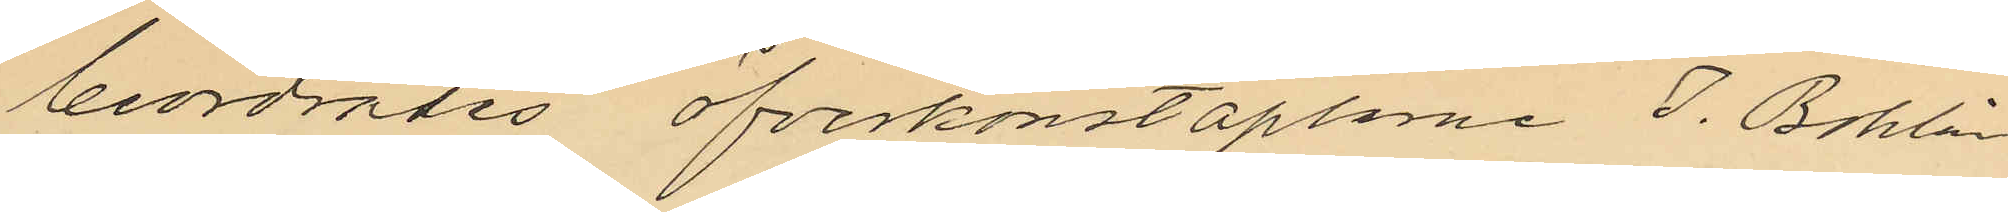beordrades öfverkonstaplane J. Bohlin
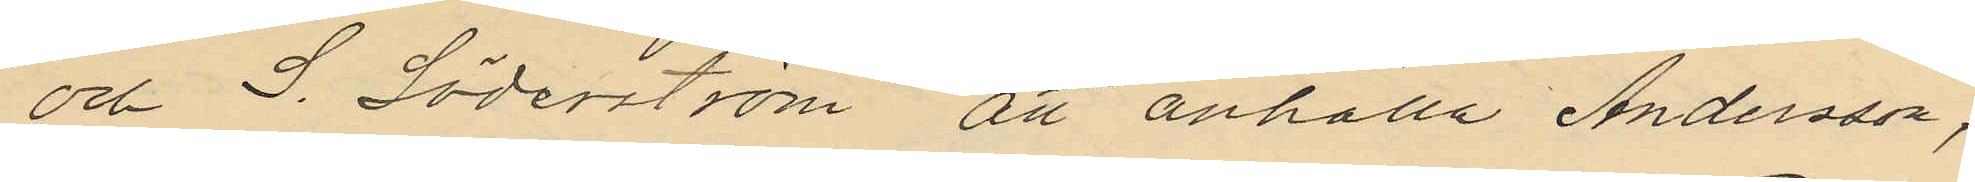och S. Söderström att anhålla Andersson,
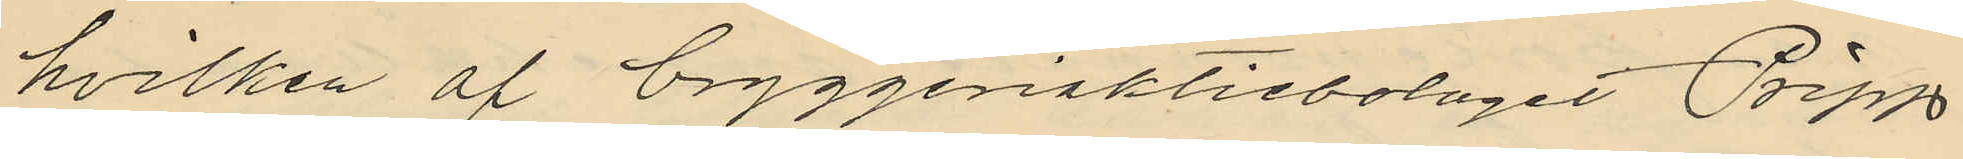hvilken af bryggeriaktiebolaget Pripp
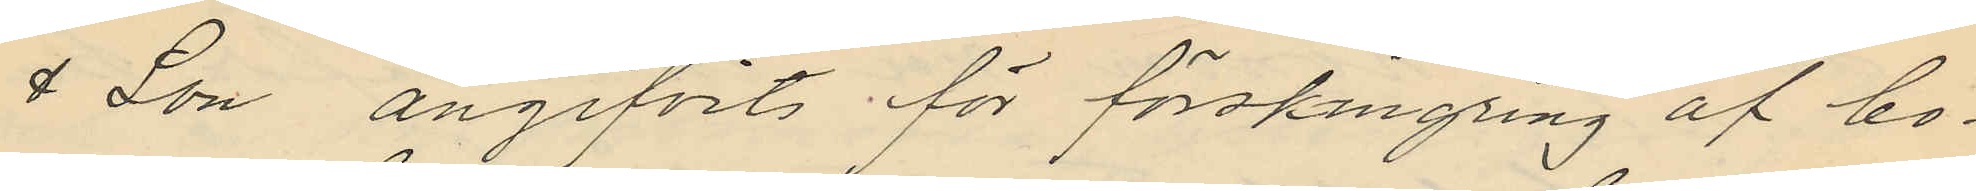& Son angifvits för förskingring af bo¬
